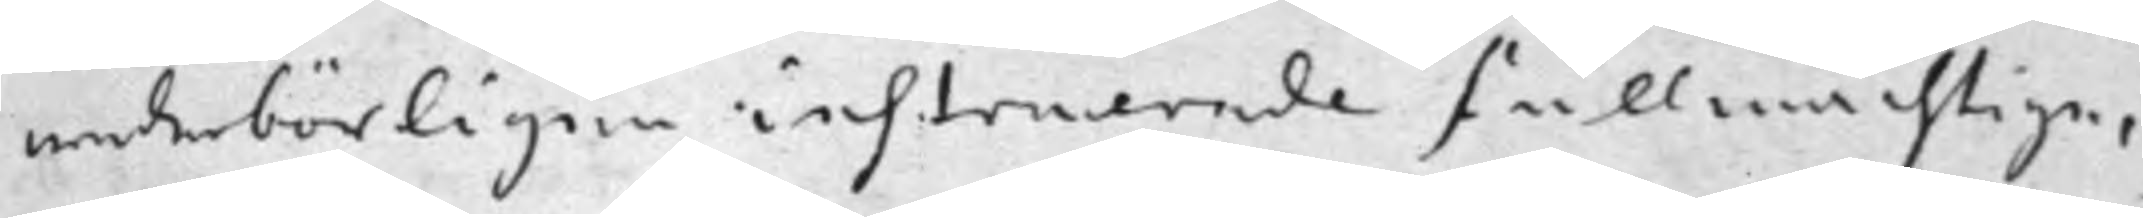wederbörligen instruerade fullmächtige,
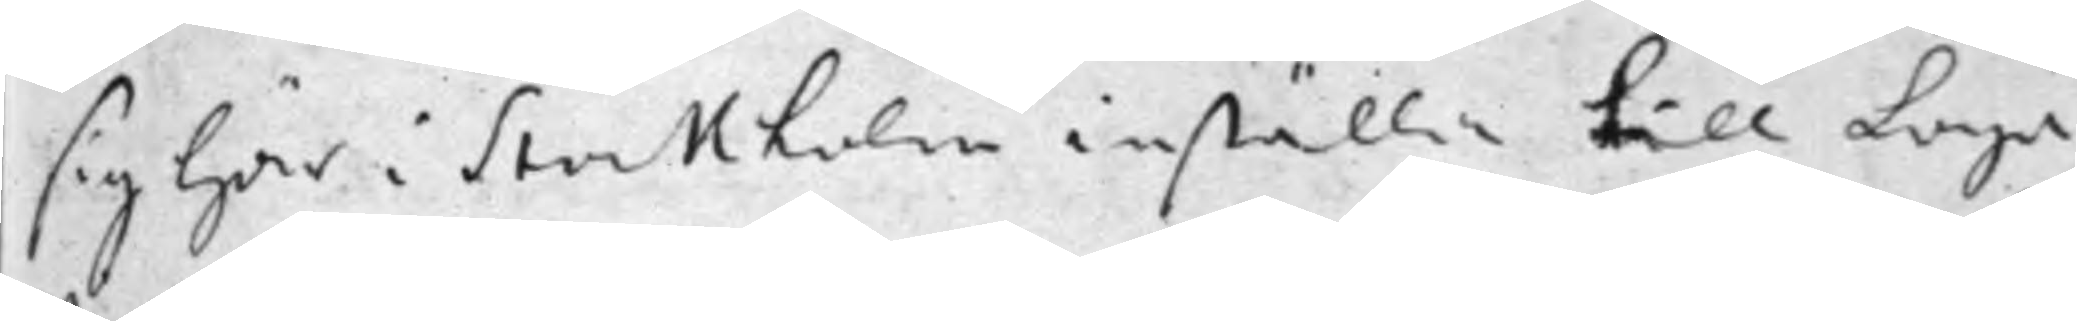sig här i Stockholm inställa till Laga
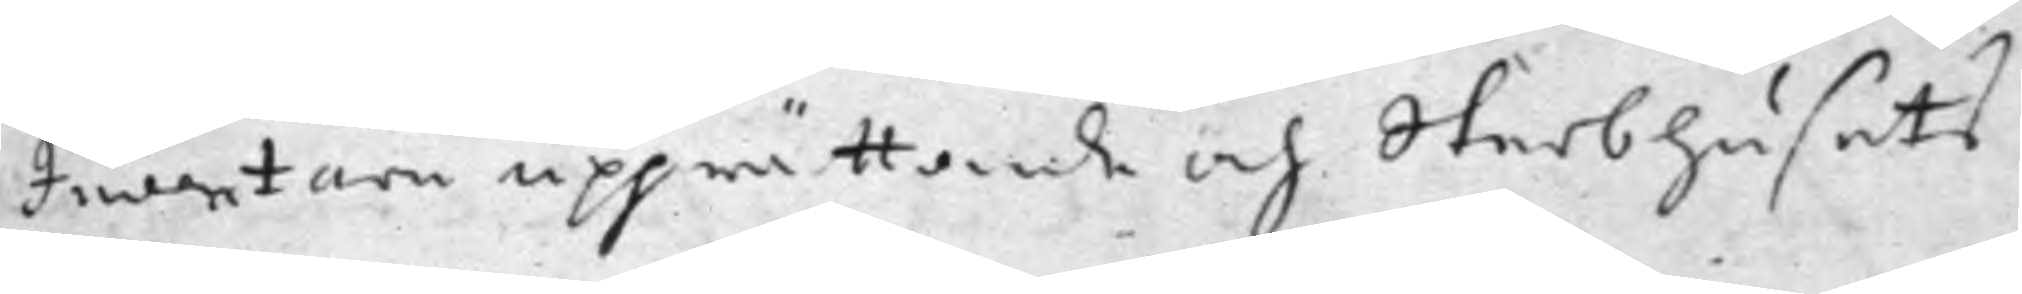Inventarii upprättande och Sterbhusets
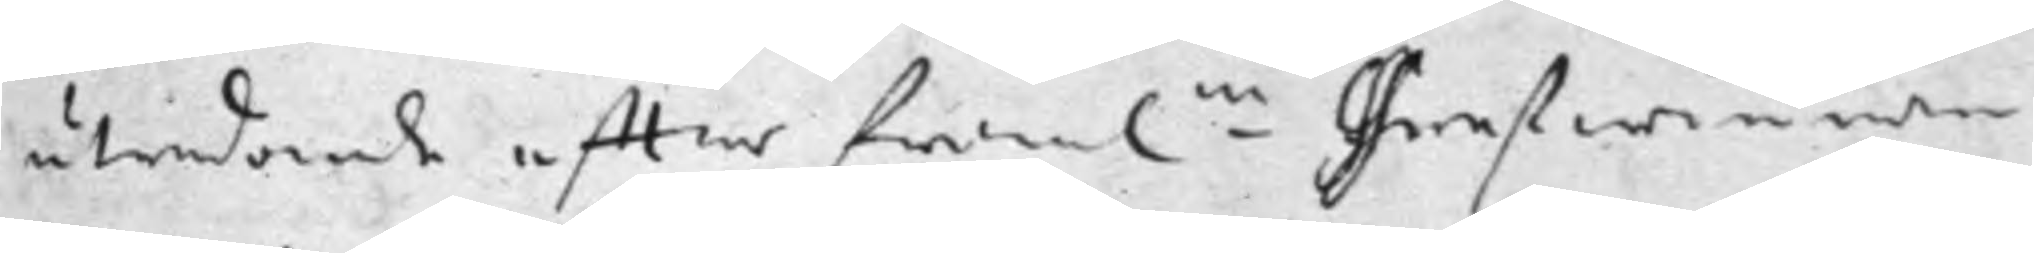utredande effter framl.ne Grefwinnan
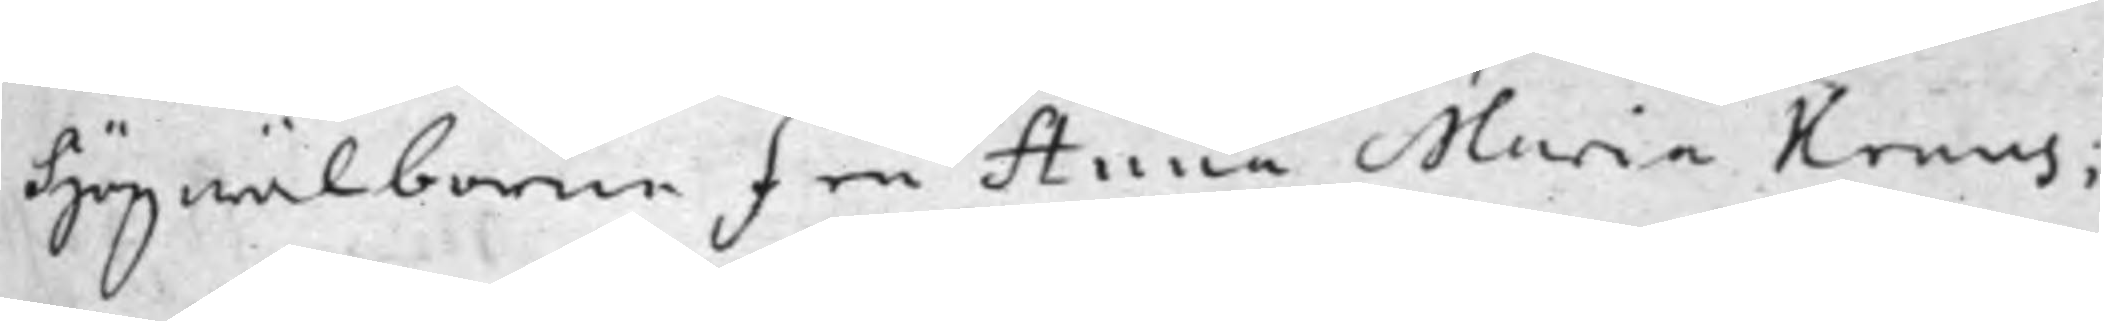Högwälborne Fru Anna Maria Kruus;
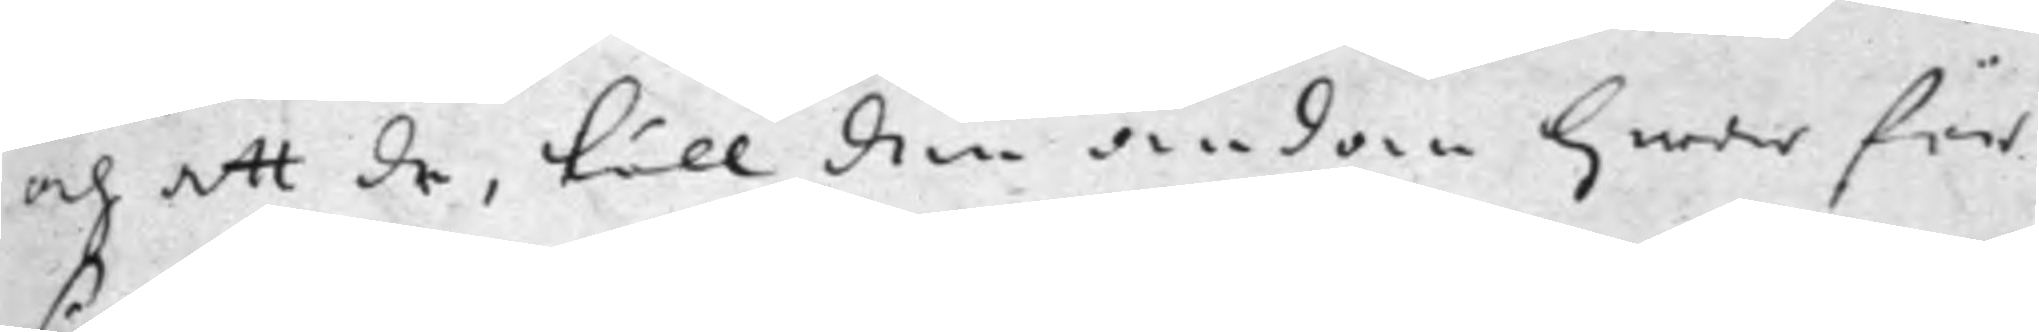och att de, till den ändan hwar för
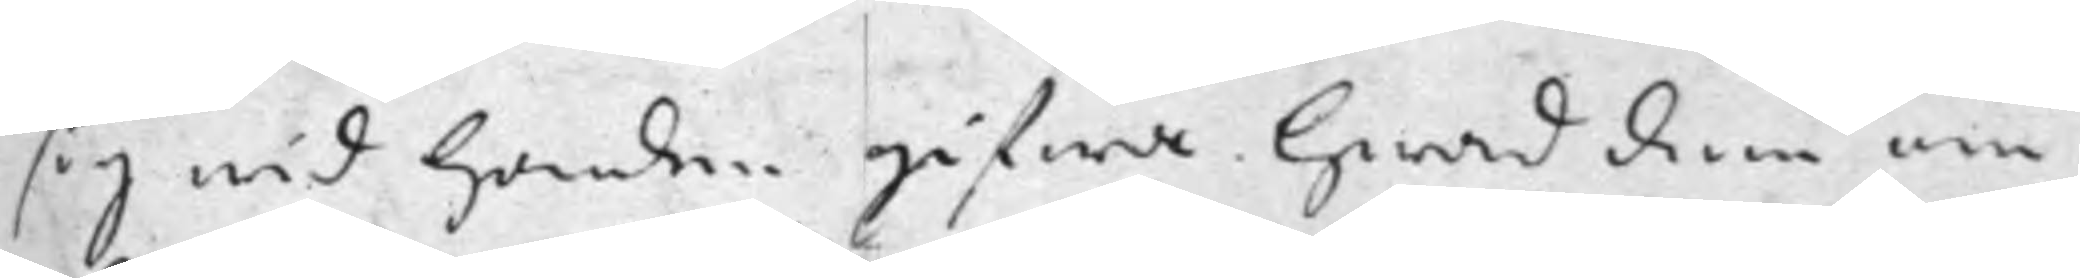sig wid Handen gifwa Hwad dem om
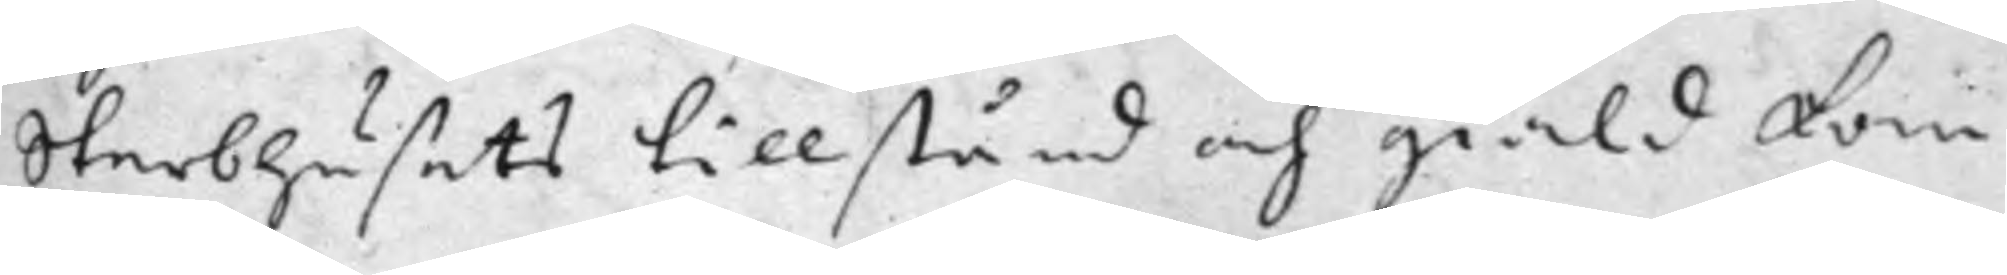Sterbhusets tillstånd och giäld kan
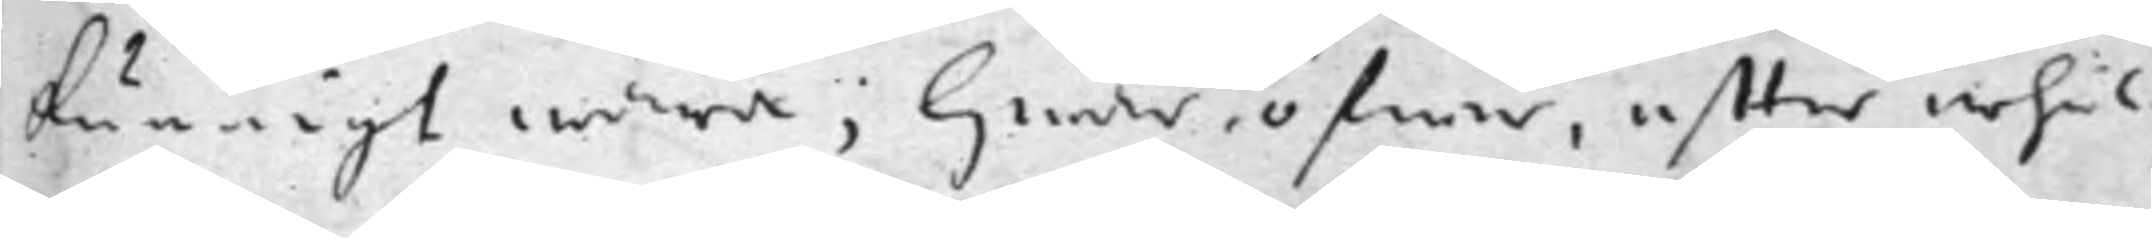kunnigt wara; Hwar öfwer effter erhål¬
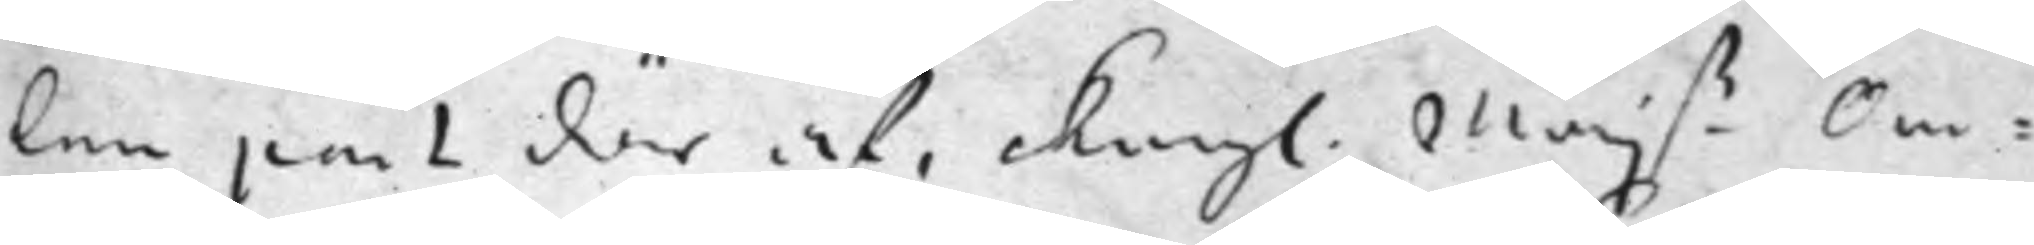len part där af, Kongl. Maj.ß Om¬
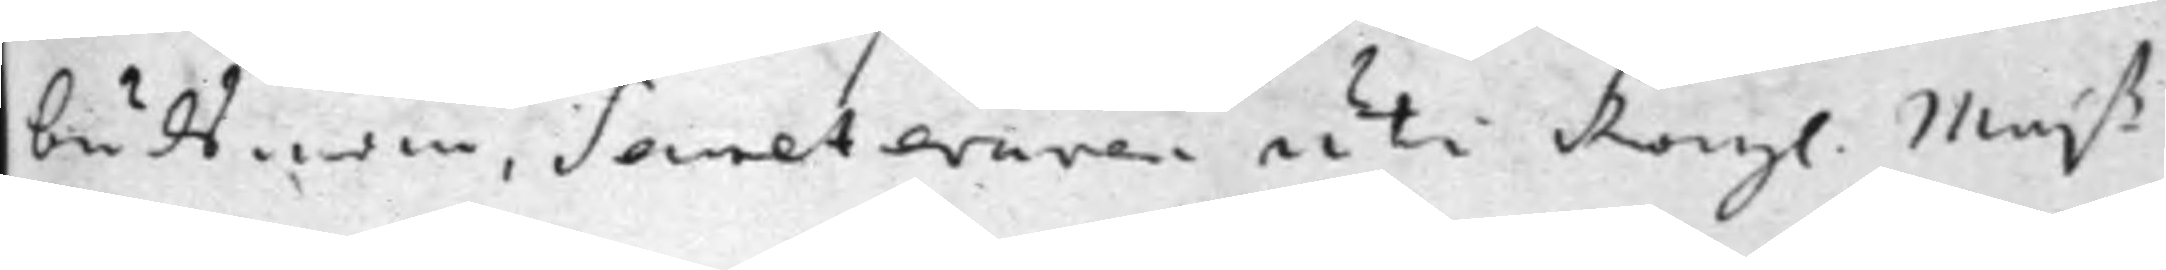budsmän, Secreteraren uti Kongl. Maj.ß
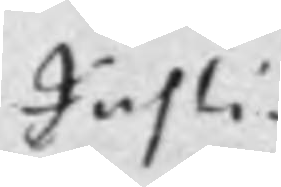Justi-
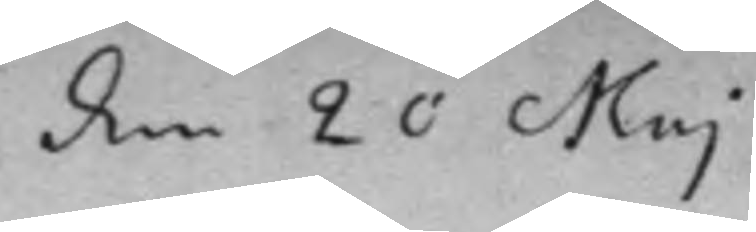den 20 Maj
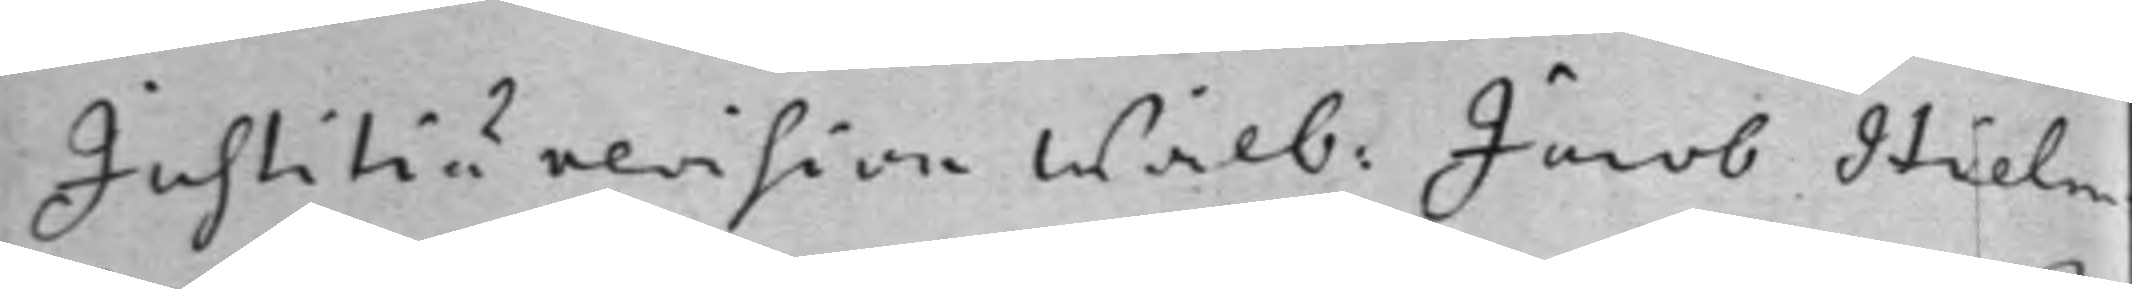Justitiu revision Wälb: Jacob Hielm¬
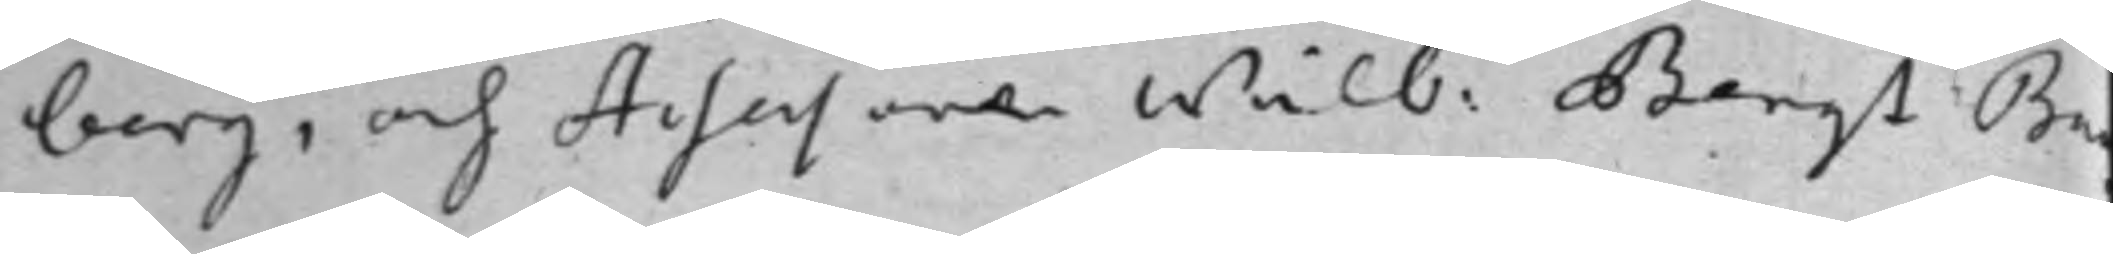berg, och Assessoren Wälb: Bengt Ba
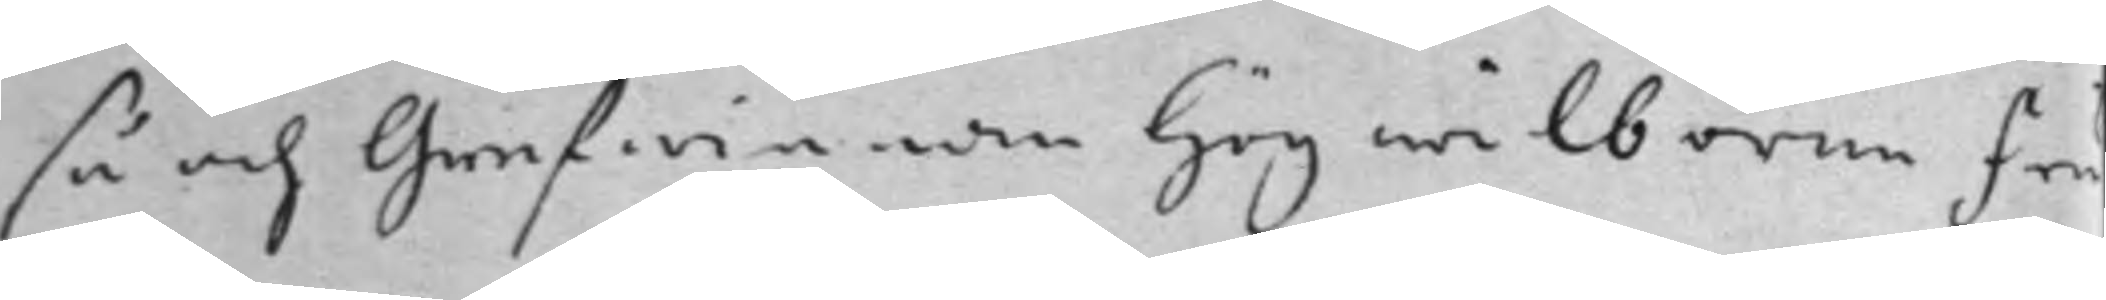så och Grefwinnan Högwälborne Fru
